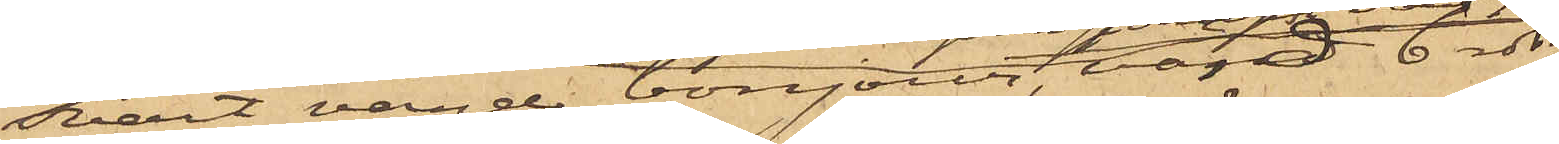svart vänd bonjour, värd 6 rdr,
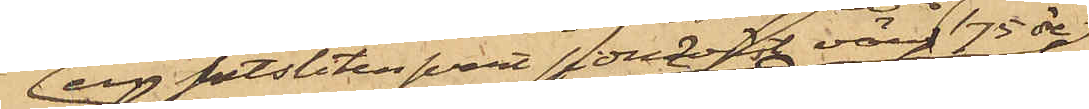en sutsliten svart sidenväst värd 75 öre
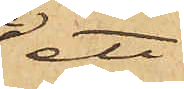ett
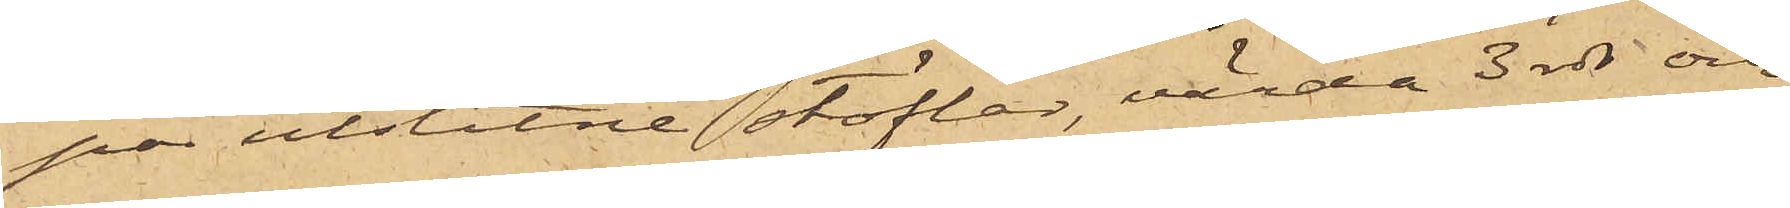par utslitne stöflar värda 3 rdr och
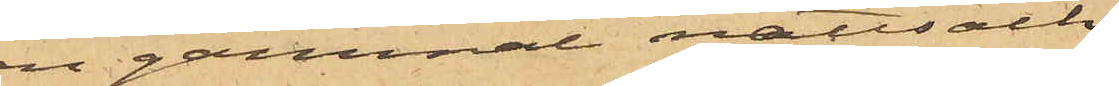en gammal nattsäck
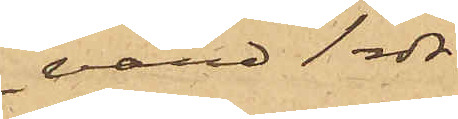värd 1 rdr.
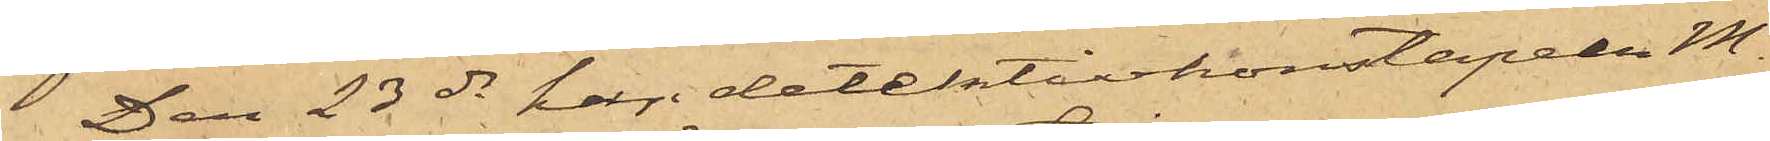Den 23 ds har detektivskonstapeln M.
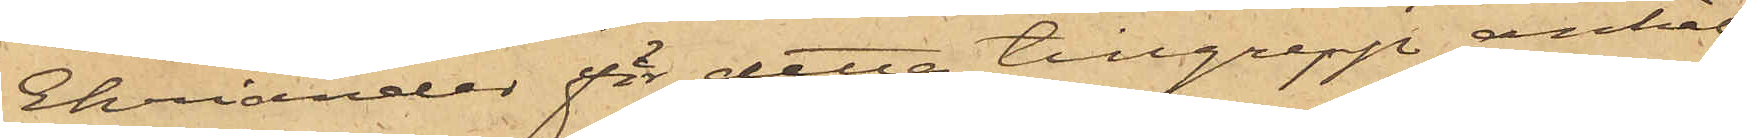Ehriander för detta tillgrepp anhål¬
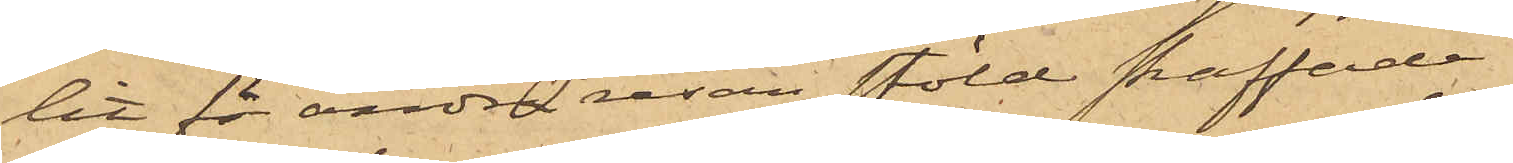lit för andra resan stöld straffade
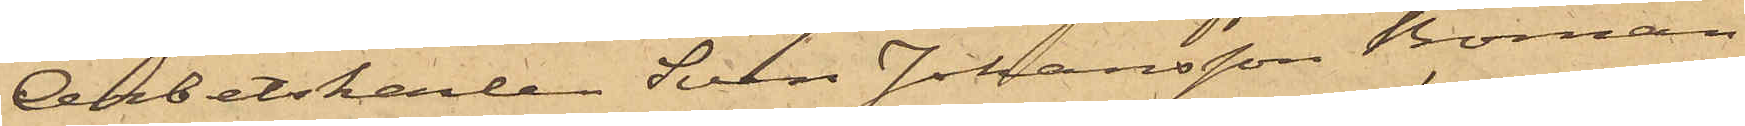Arbetskarlen Sven Johansson Boman
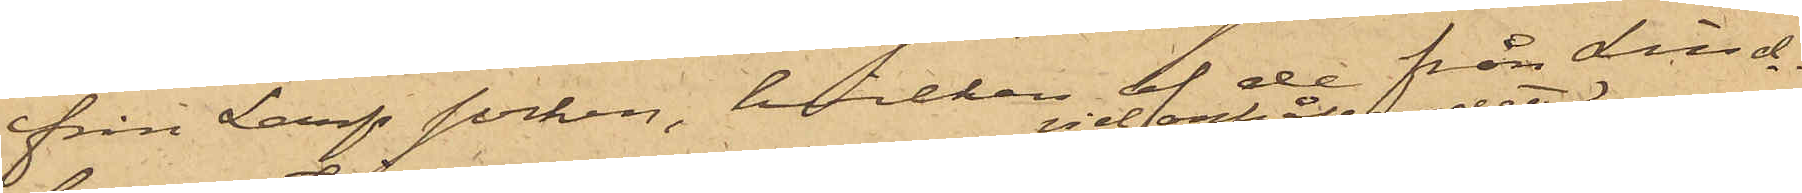från Larfs socken, hvilken af de från Lind¬
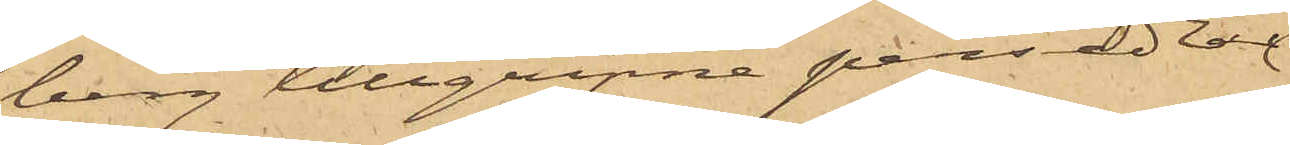berg tillgripne persedlar
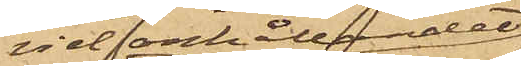vid anhållandet
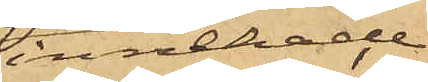innehade
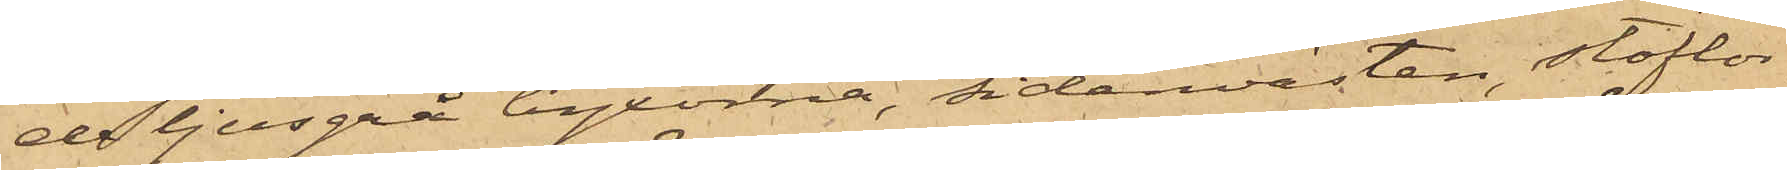de ljusgrå byxorna, sidenvästen, stöflar¬
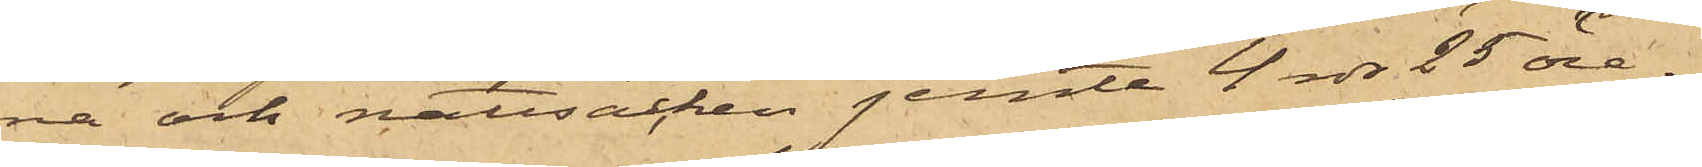na och nattsäcken jemte 4 rdr 25 öre.
